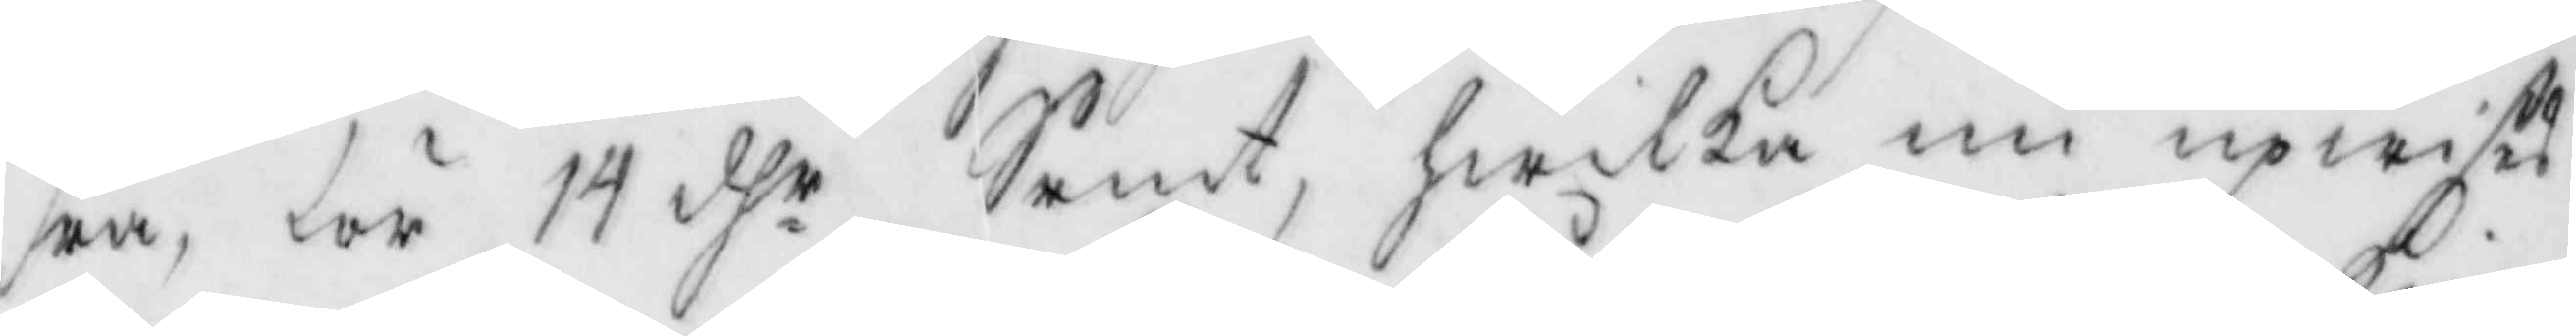ra, för 14 dhr Srmt, hwilka nu upwises
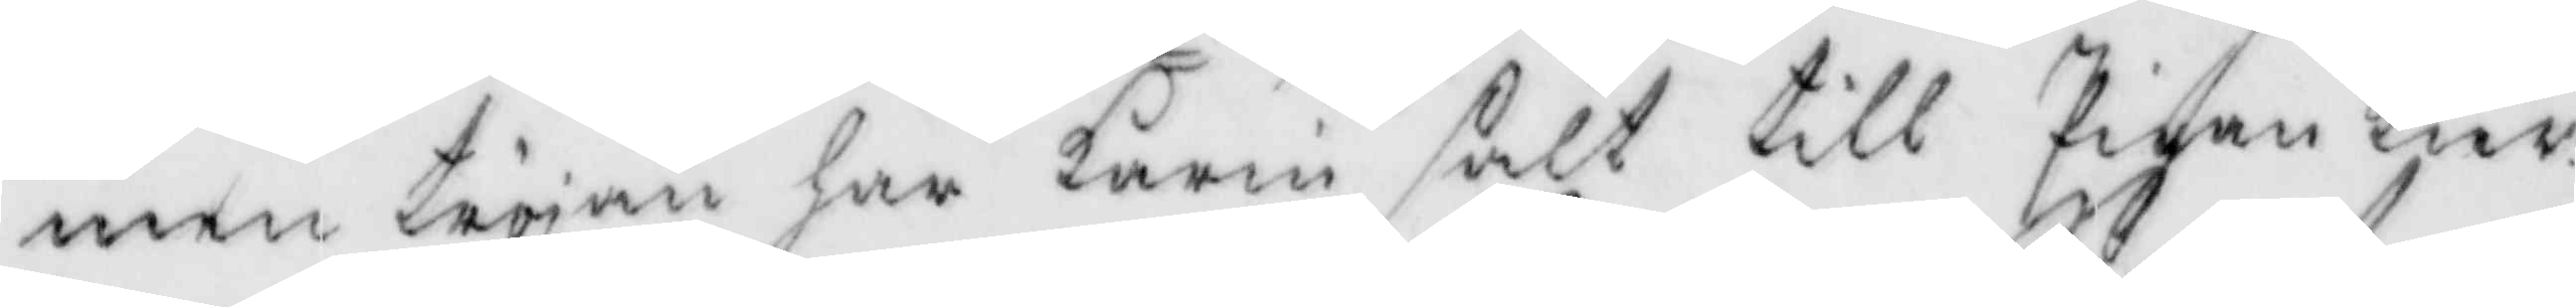men tröjan har Karin sålt till Pigan Kier¬
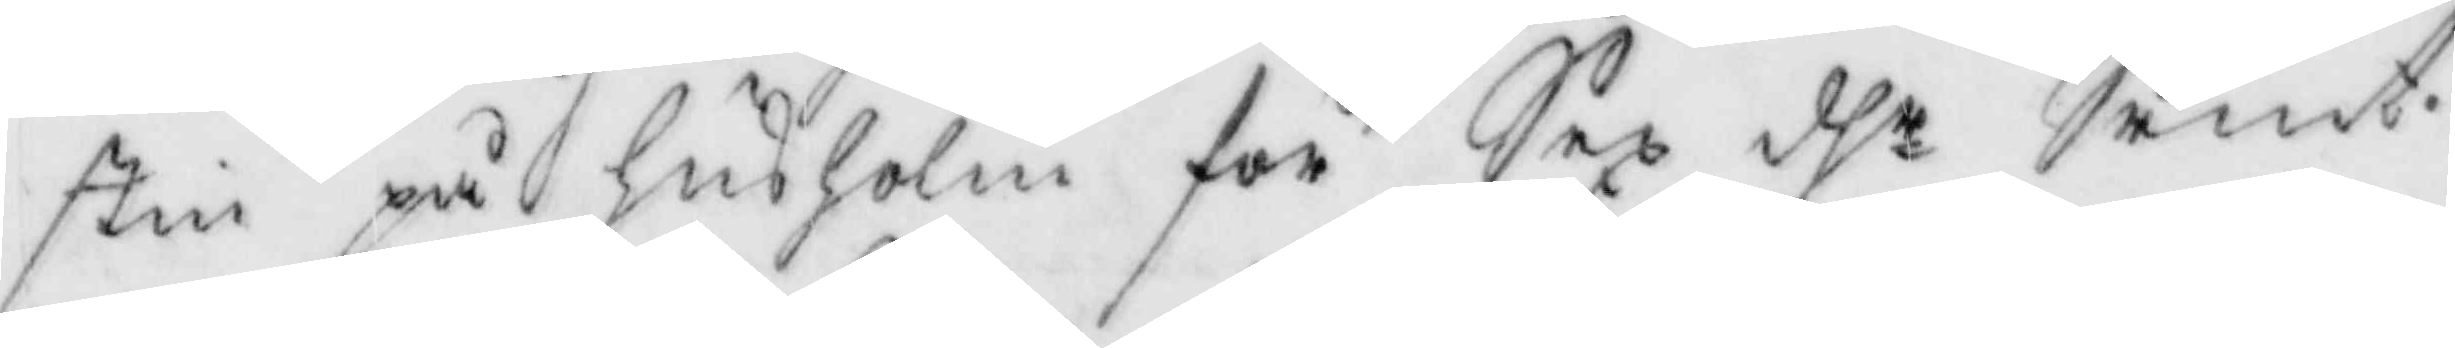stin på husholm för Sex dhr Srmt.
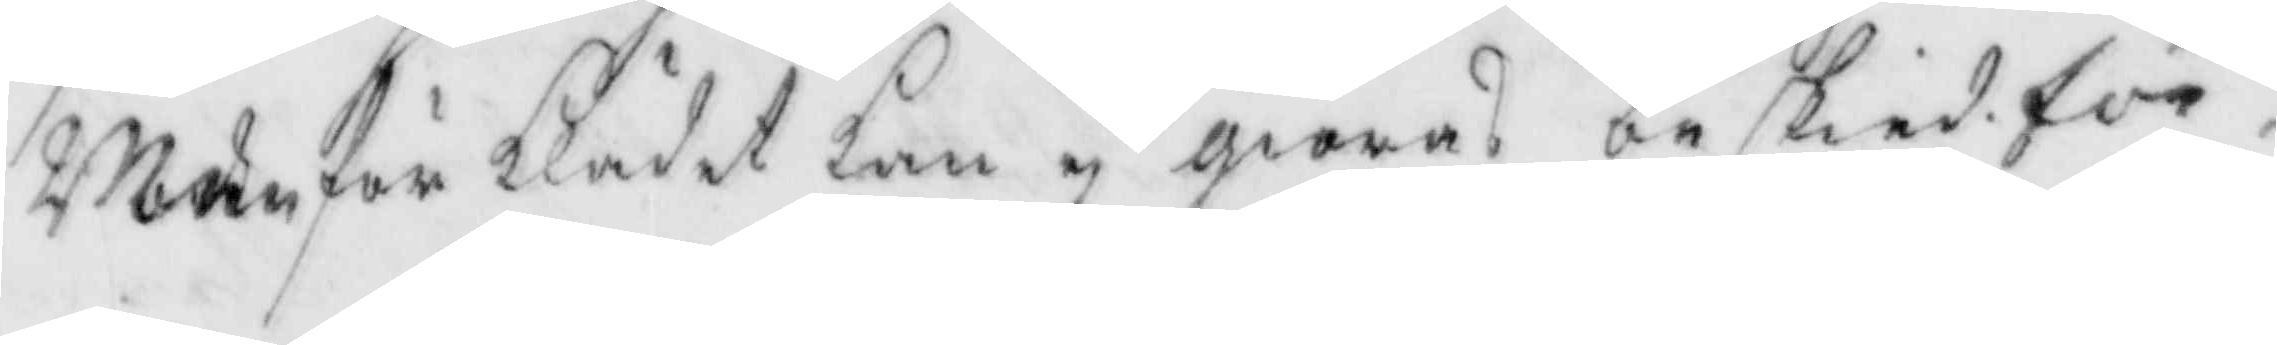Men för klädet kan ej giöras beskied för.
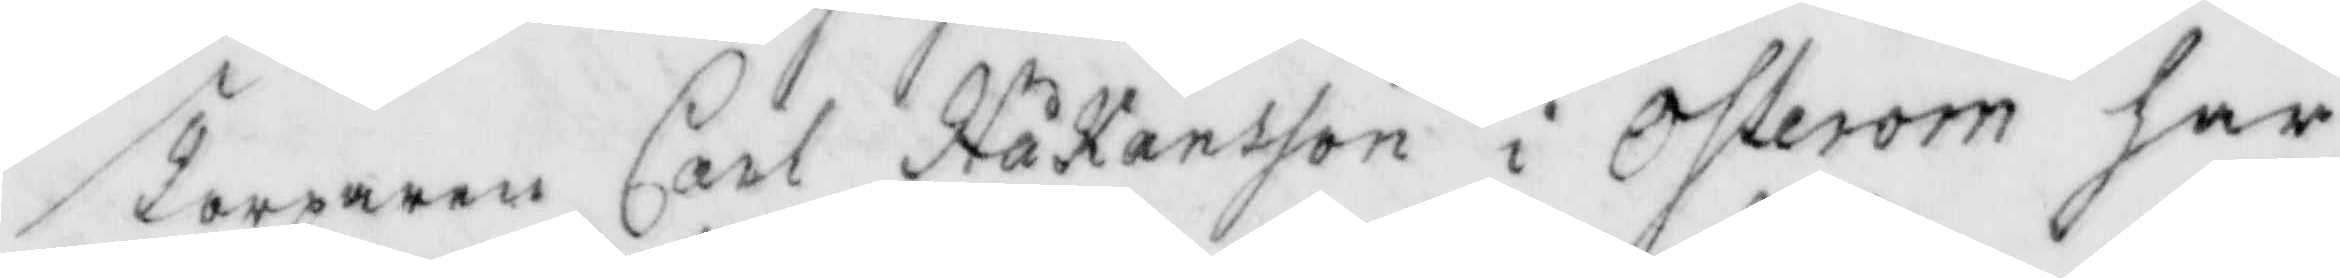Torparen Carl Håkansson i Österom har
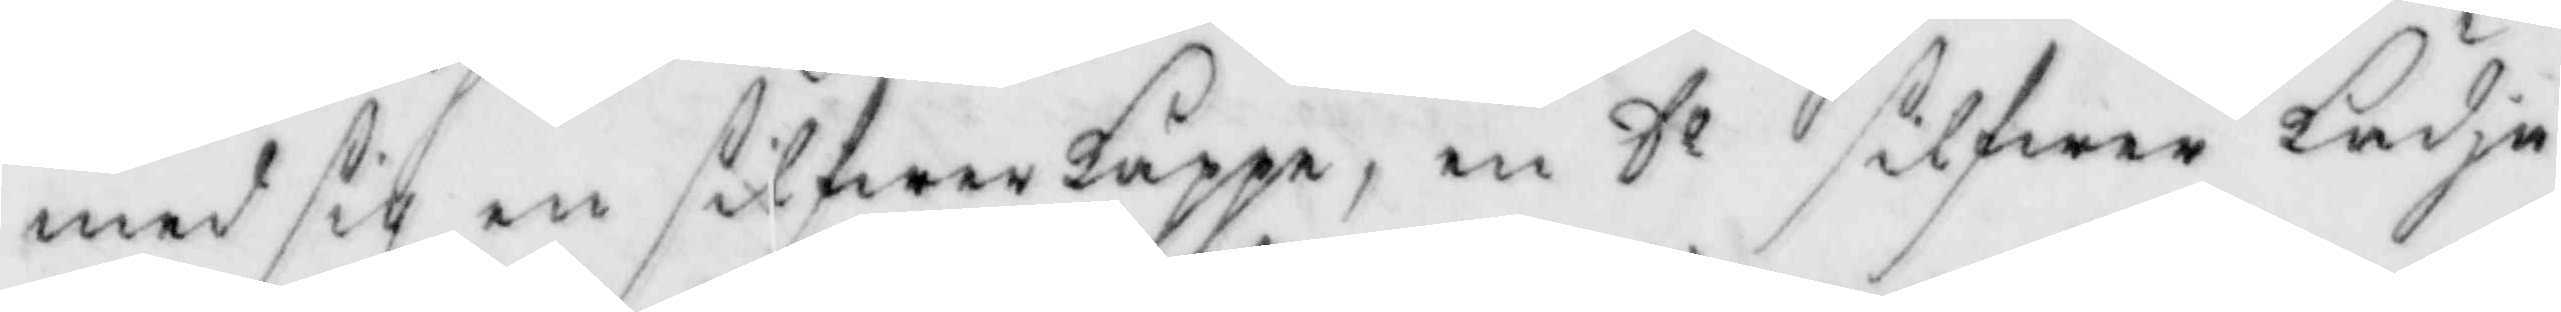med sig en silfwerkappe, en Do silfwer kädja
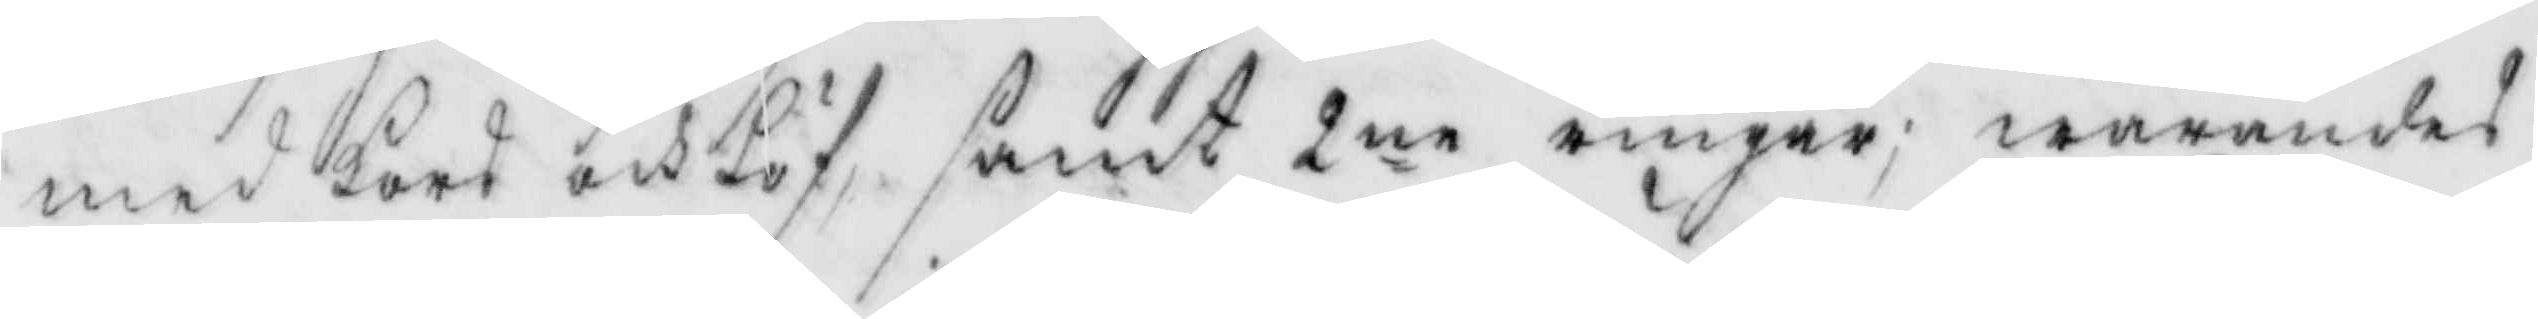med kors och löf, samt 2ne ringar; warandes
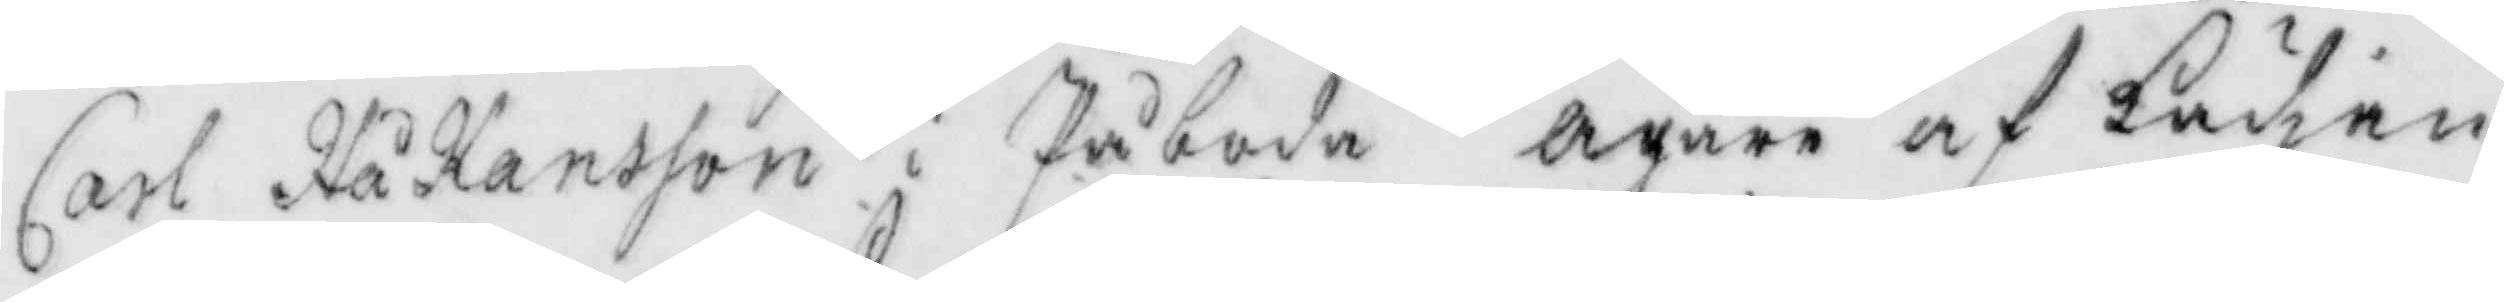Carl Håkansson i Påboda Ägare af kädjen
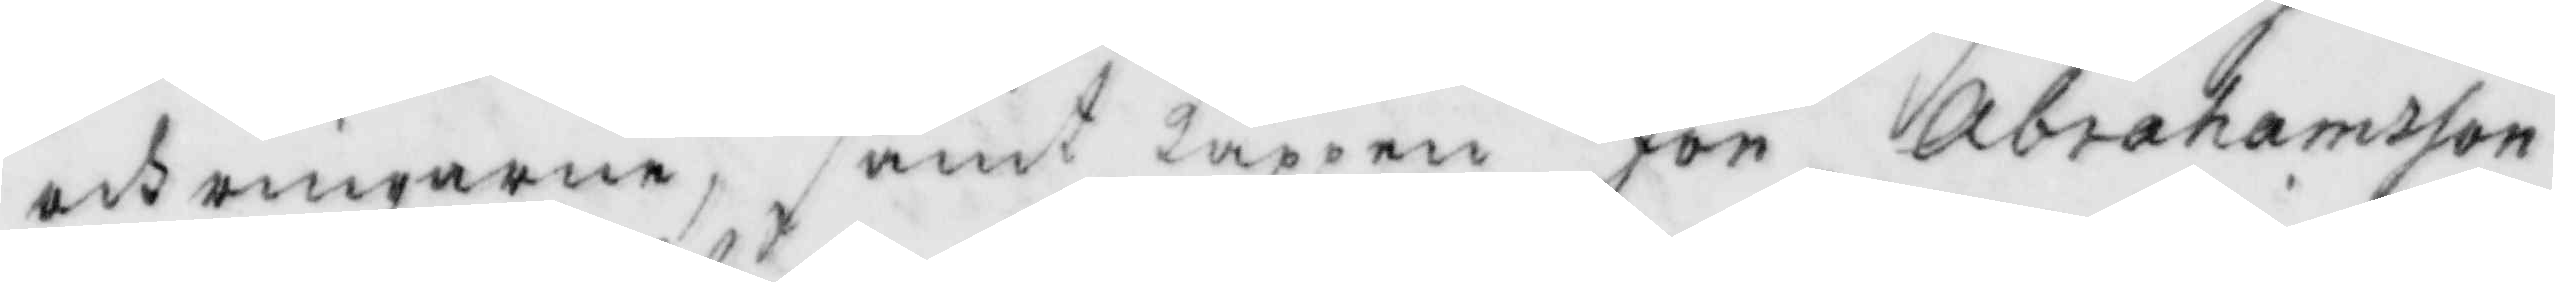och ringarne, samt kappen Jona Abrahamsson
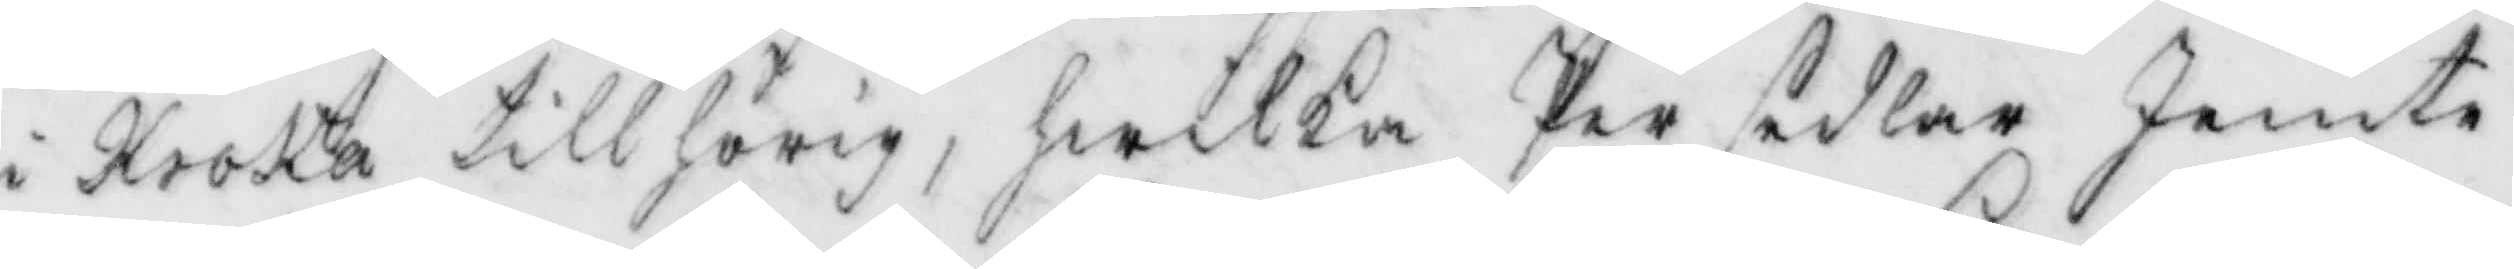i Kroka tillhörig, hwilka Per sedlar Jemte
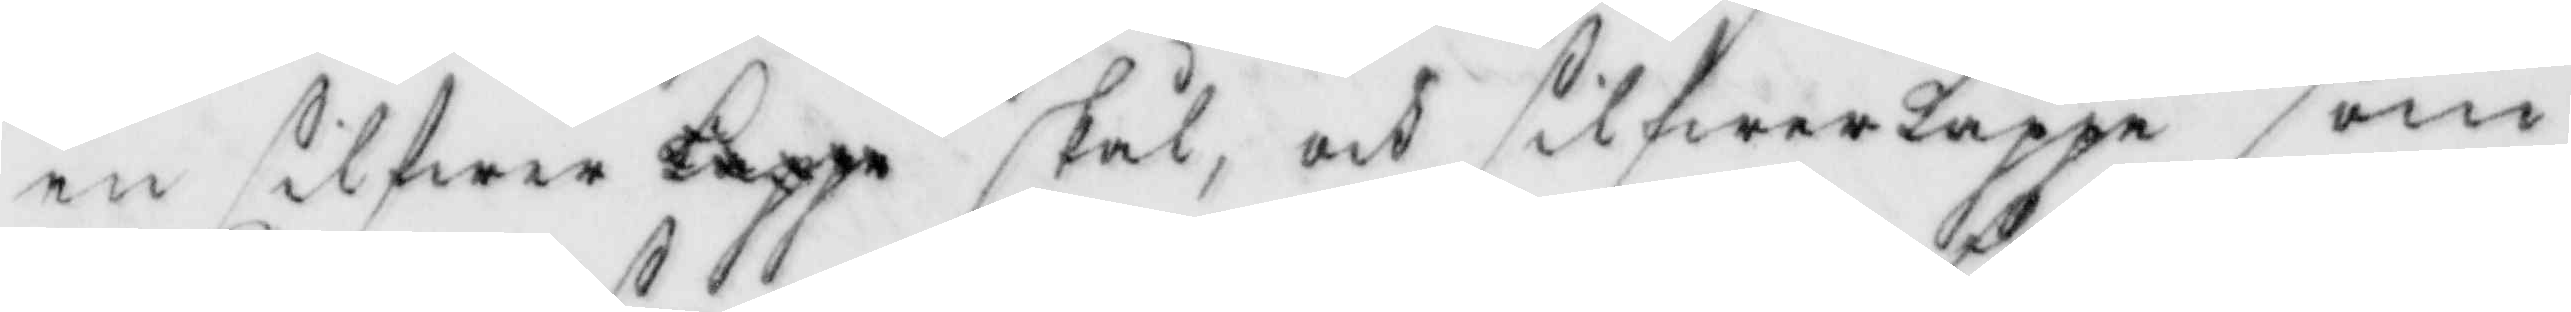en silfwer kappe skål, och silfwerkappe som
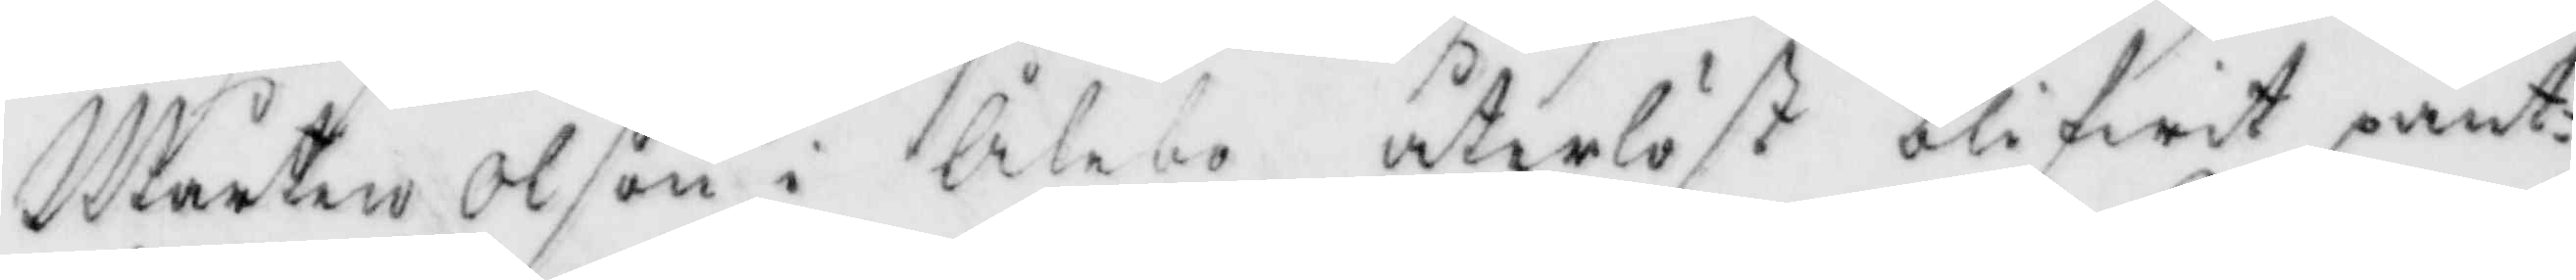Mårten Olson i Ålebo återlöst blifwit pant¬
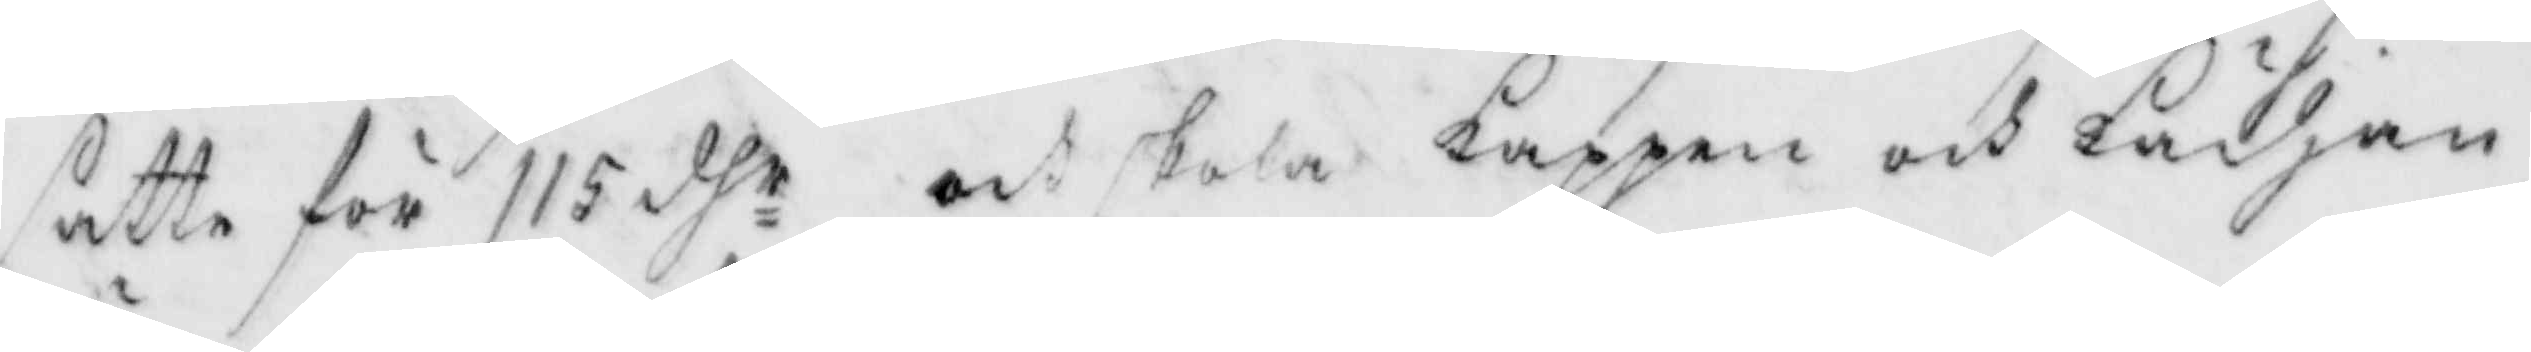satte för 115 dhr ock skola kappen och kädjan
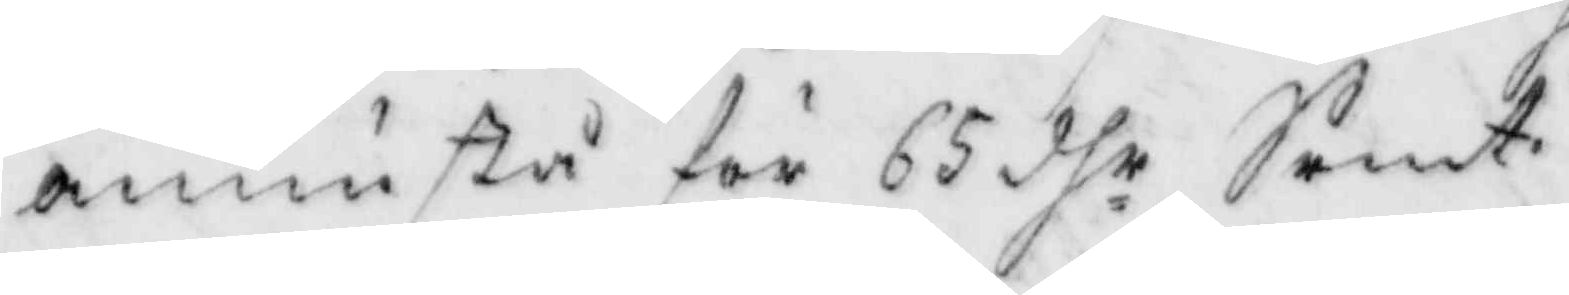ännu stå för 65 dhr Srmt.
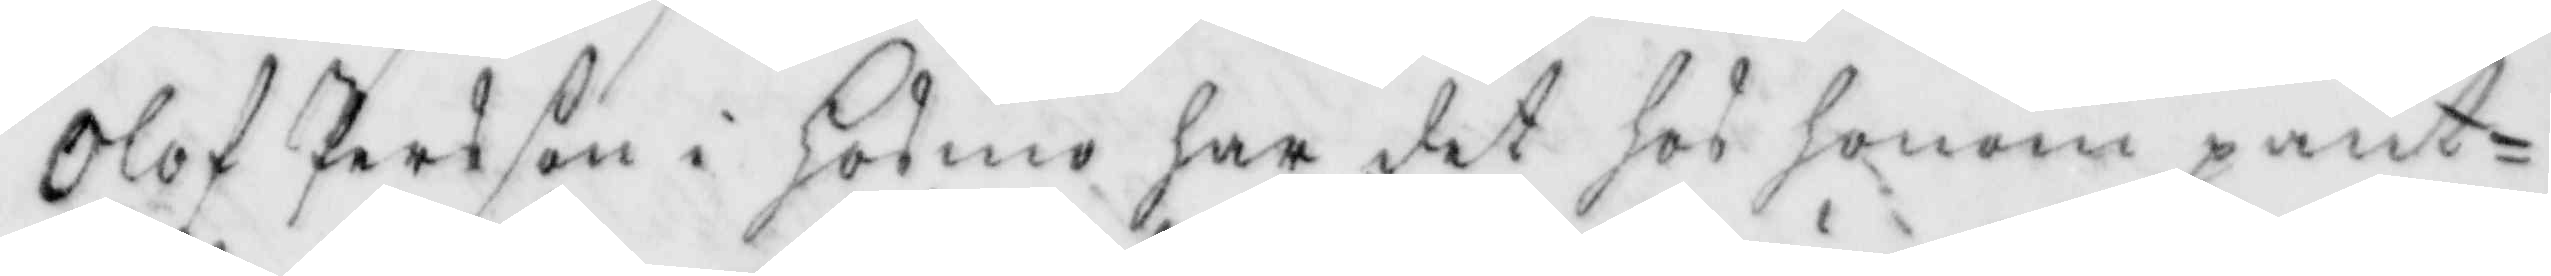olf Persson i Hosmo har det hos honom pant¬
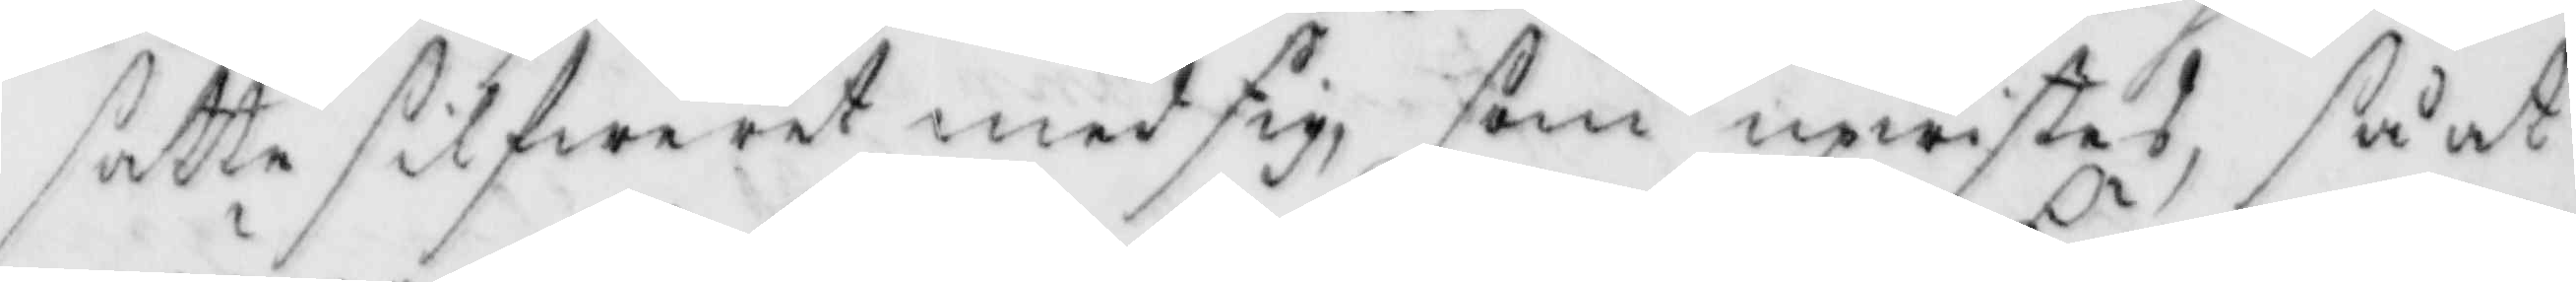satte silfweret med sig, som upwistes, så at
